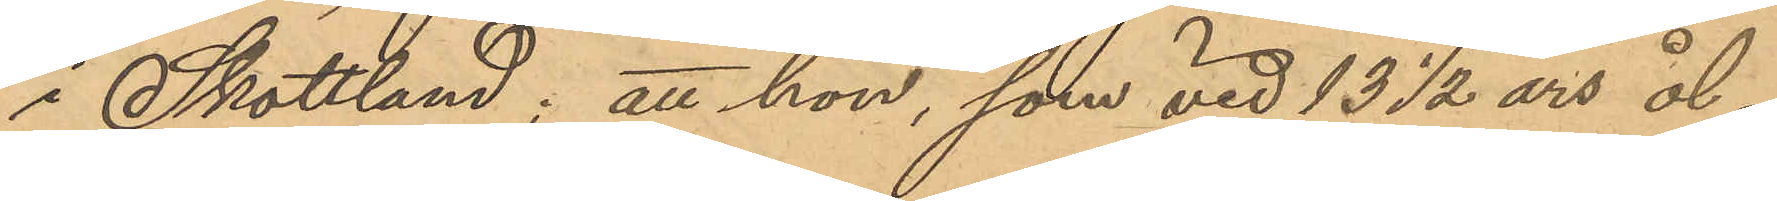i Skottland; att hon, som vid 13 ½ års ål¬
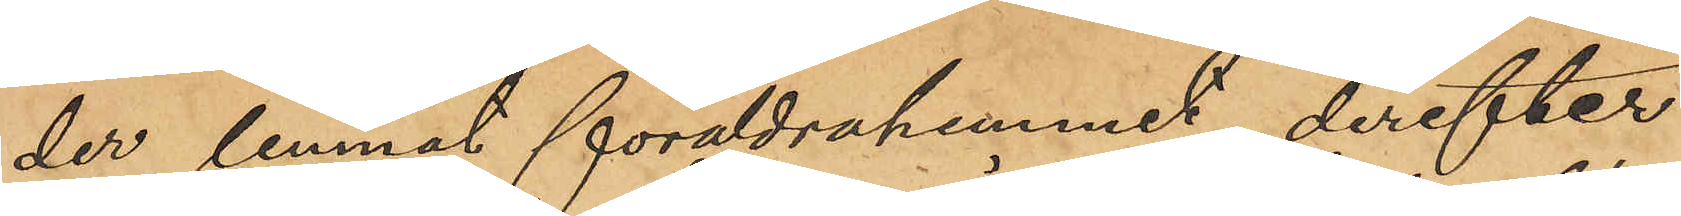der lemnat föräldrahemmet, derefter
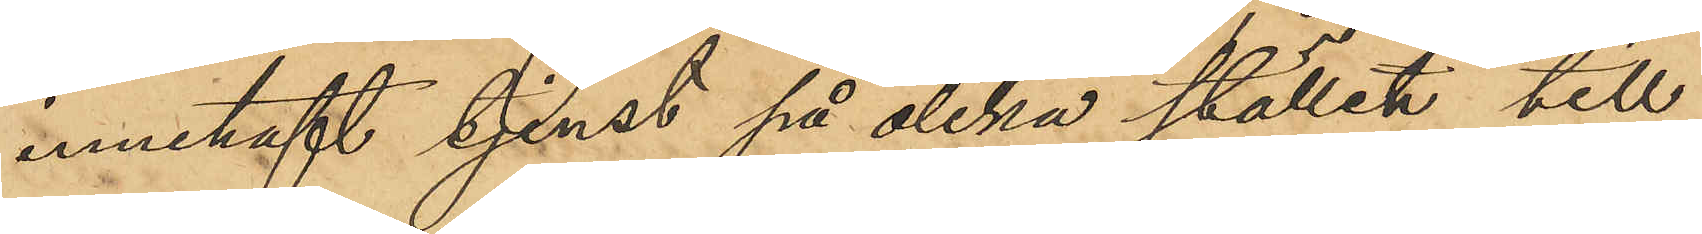innehaft tjenst på olika ställen till
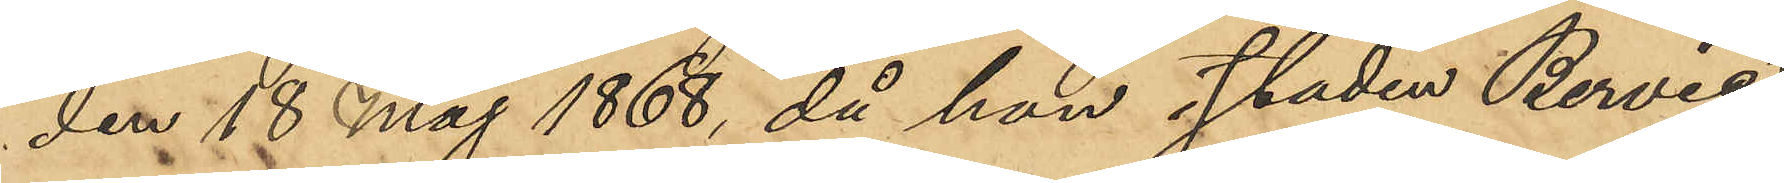den 18 Maj 1868, då hon i staden Berwic
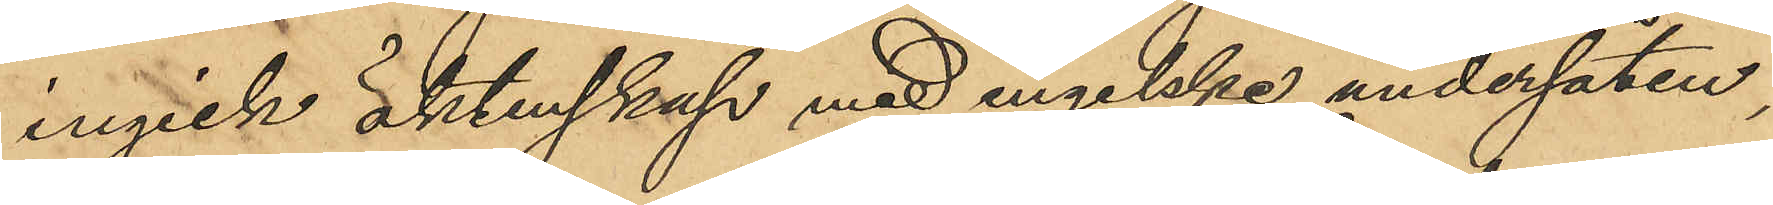ingick äktenskap med engelske undersåten,
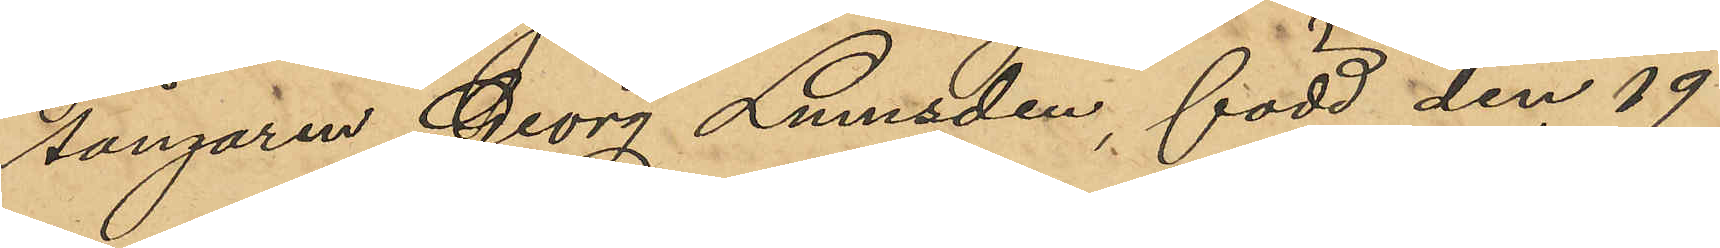sångaren Georg Lumsden, född den 19
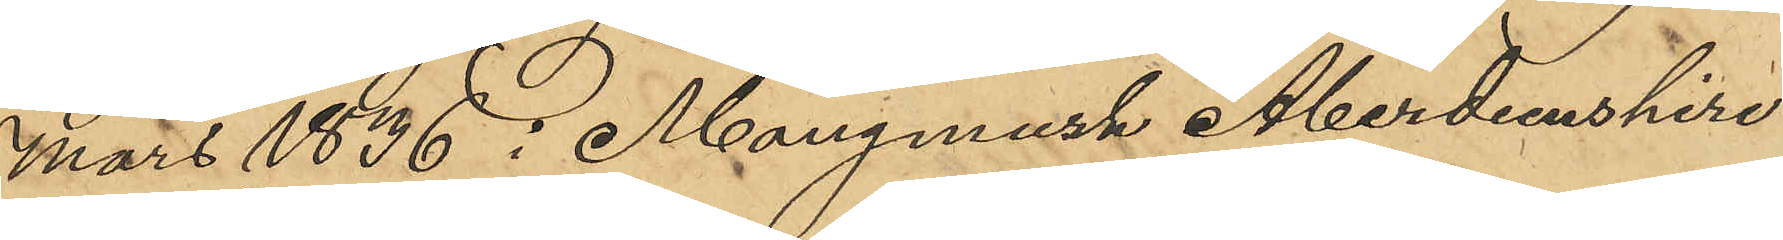Mars 1836 i Monymusk Aberdeenshire
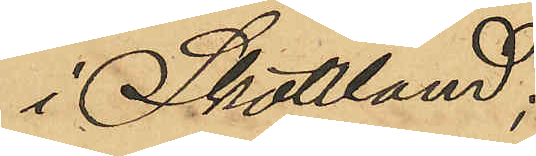i Skottland;
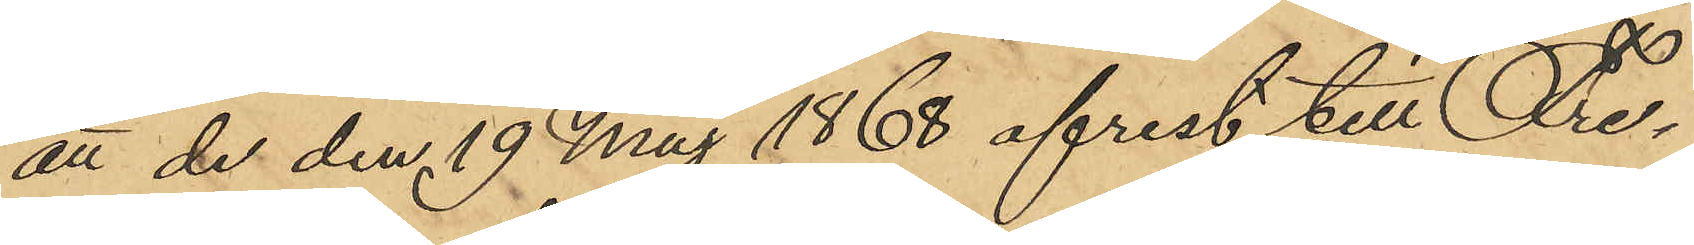att de den 19 Maj 1868 afrest till Fre¬
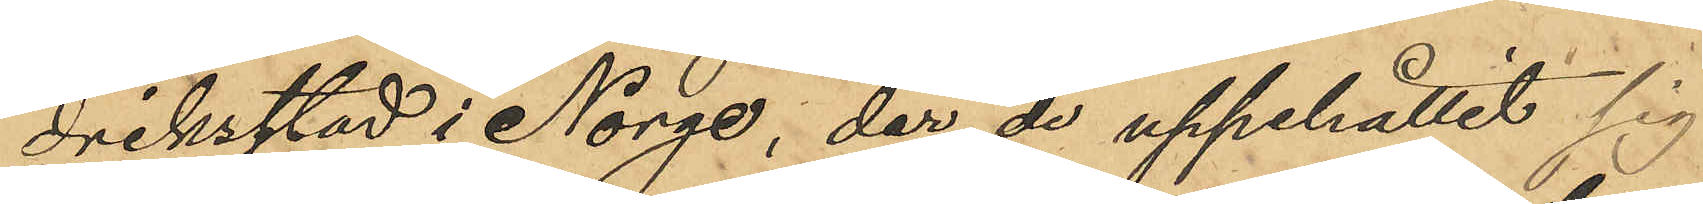driksstad i Norge, der de uppehållit sig
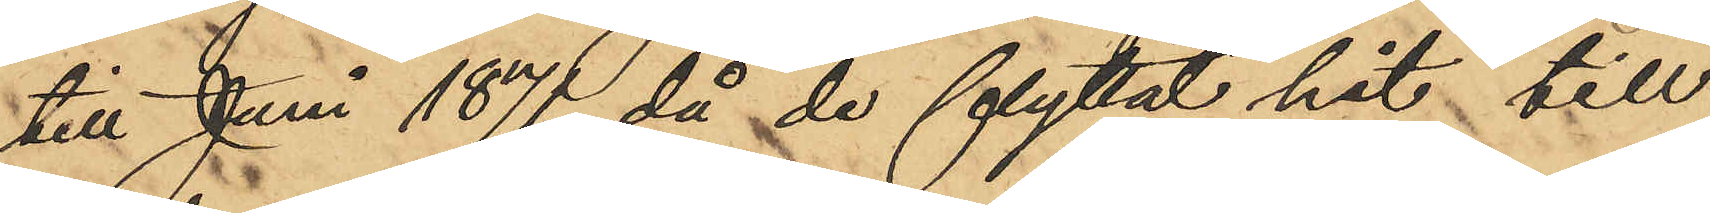till Juni 1871, då de flyttat hit till
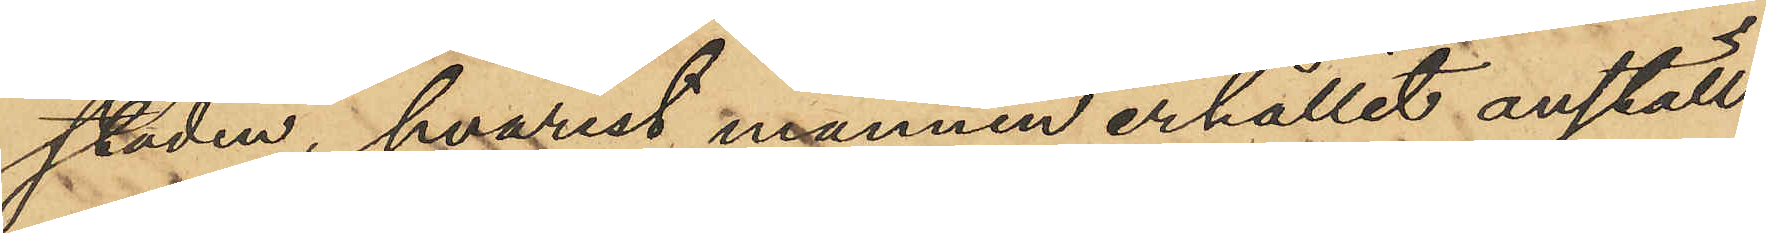staden, hvarest mannen erhållit anställ¬
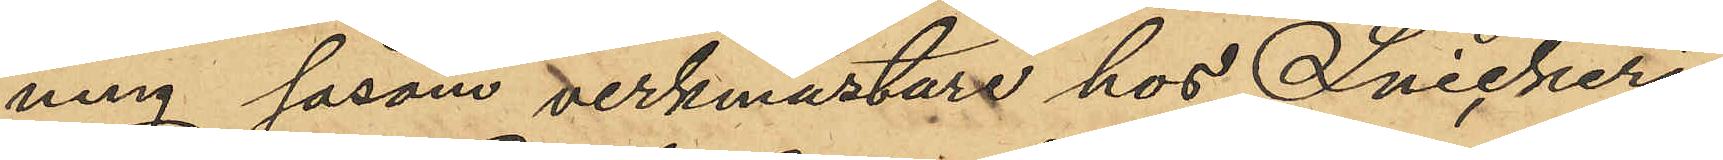ning såsom verkmästare hos Snickeri¬
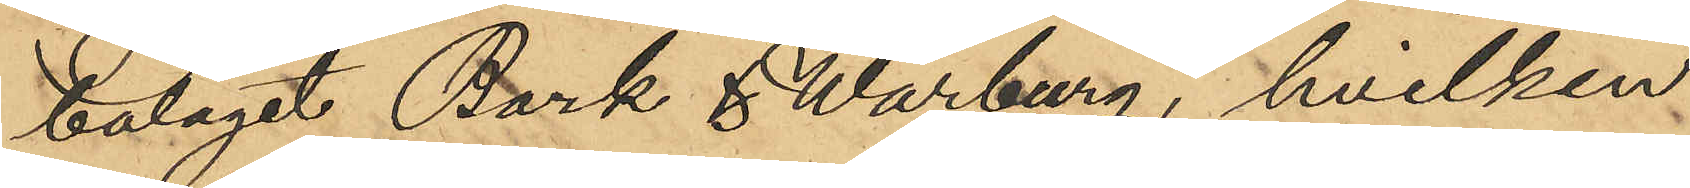bolaget Bark & Warburg, hvilken
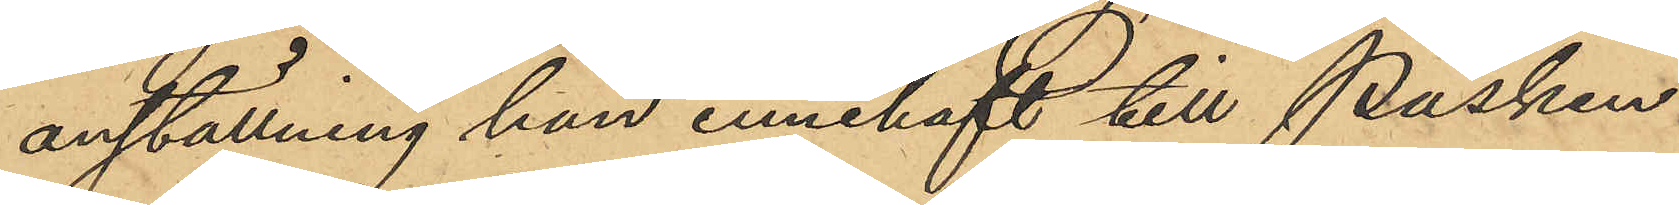anställning han innehaft till Påsken
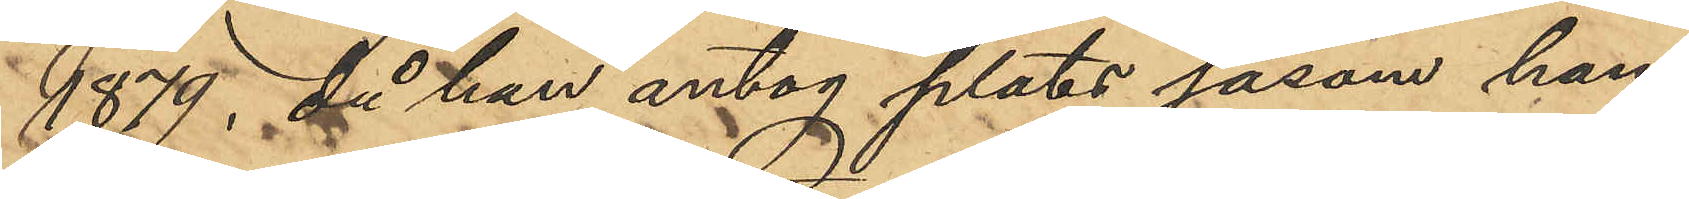1879, då han antog plats såsom han¬
